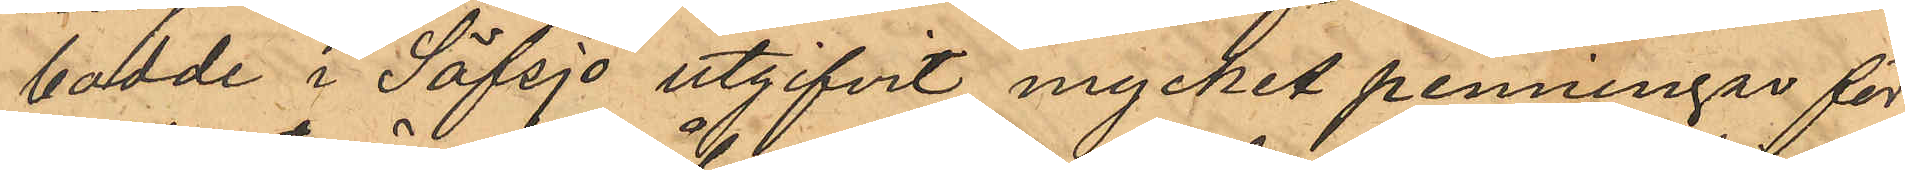bodde i Säfsjö utgifvit mycket penningar för
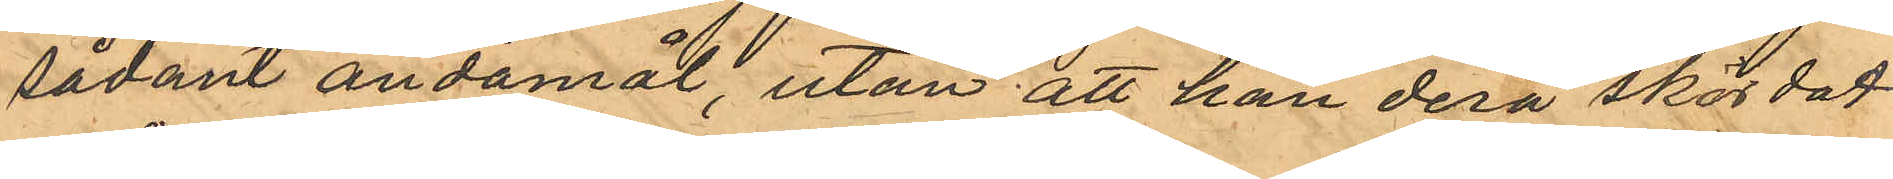sådant ändamål, utan att han derå skördat
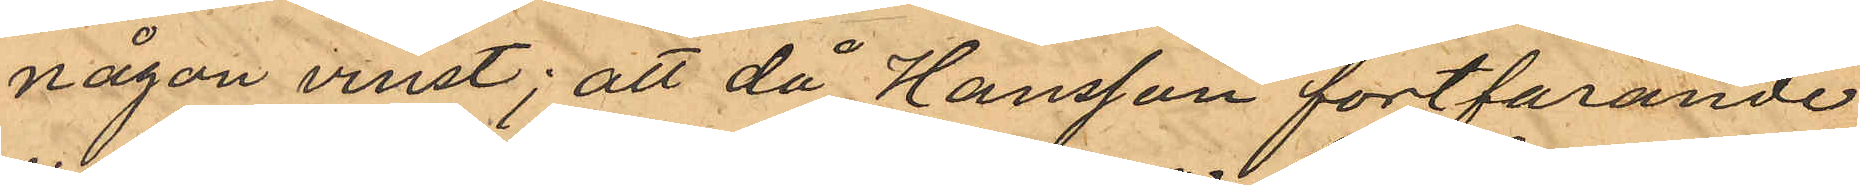någon vinst; att då Hansson fortfarande
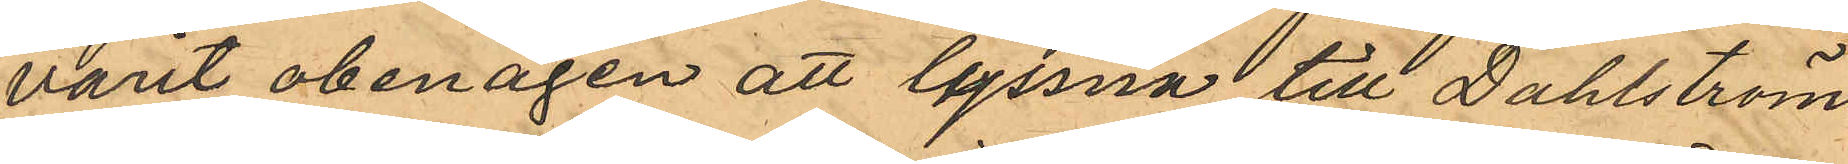varit obenägen att lyssna till Dahlströms
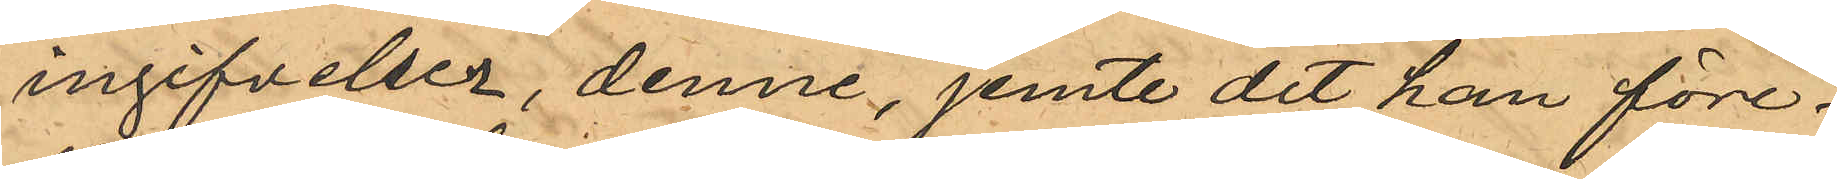ingifvelser, denne, jemte det han före¬
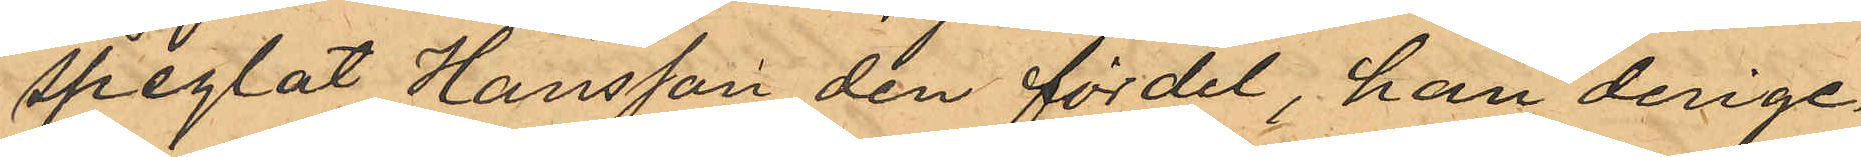speglat Hansson den fördel, han derige¬
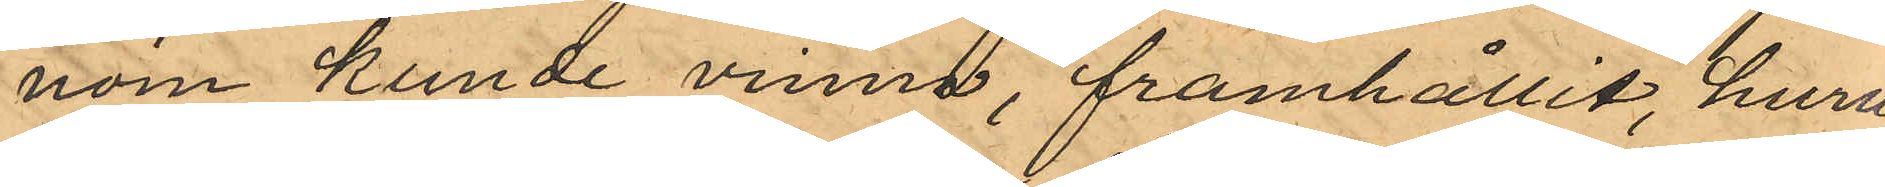nom kunde vinna, framhållit, huru
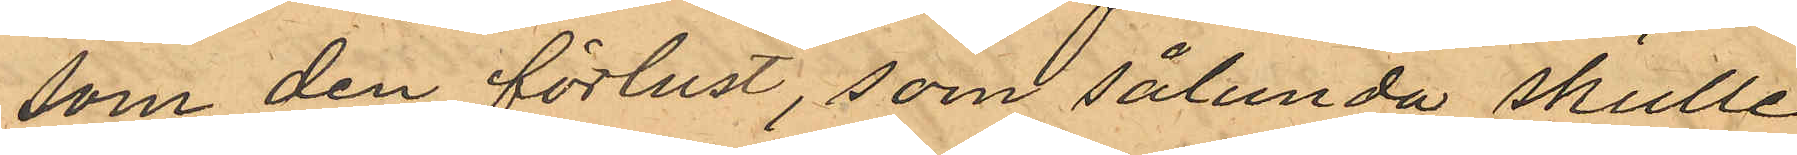som den förlust, som sålunda skulle
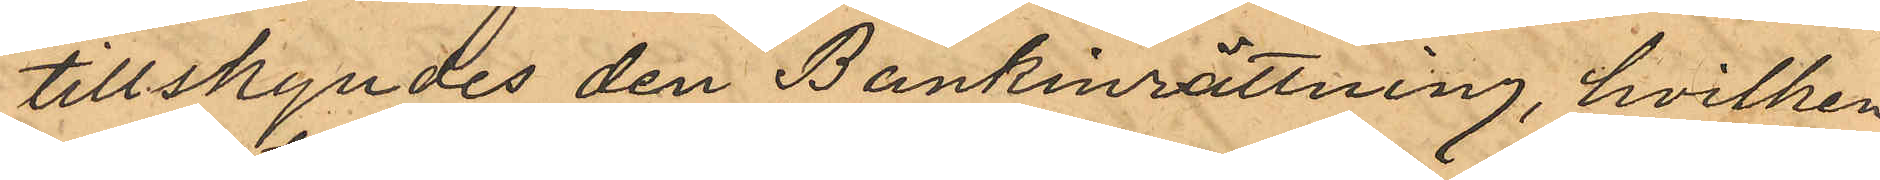tillskyndes den Bankinrättning, hvilken
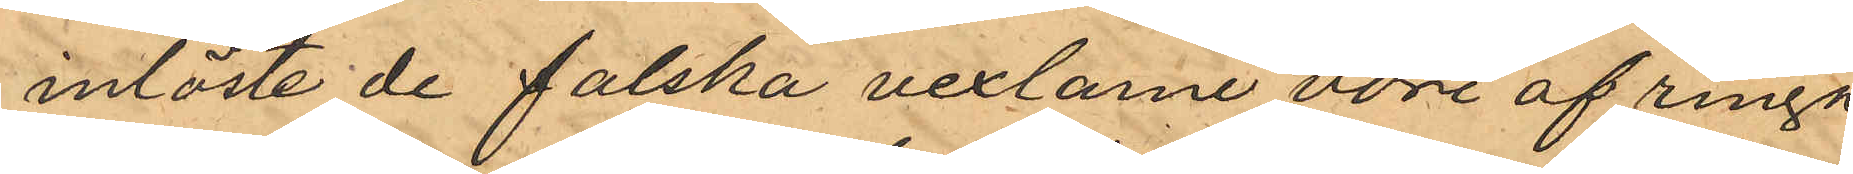inlöste de falska vexlarne vore af ringa
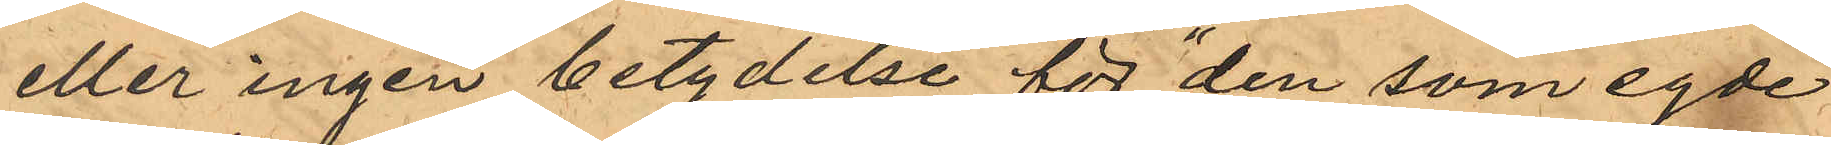eller ingen betydelse för "den som egde
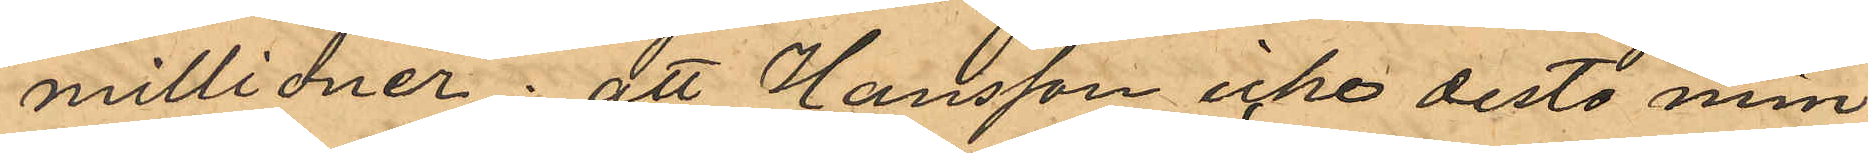millioner"; att Hansson icke desto min¬
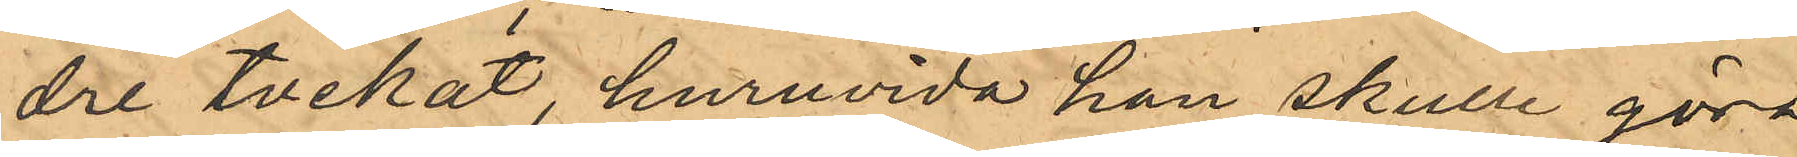dre tvekat huruvida han skulle göra
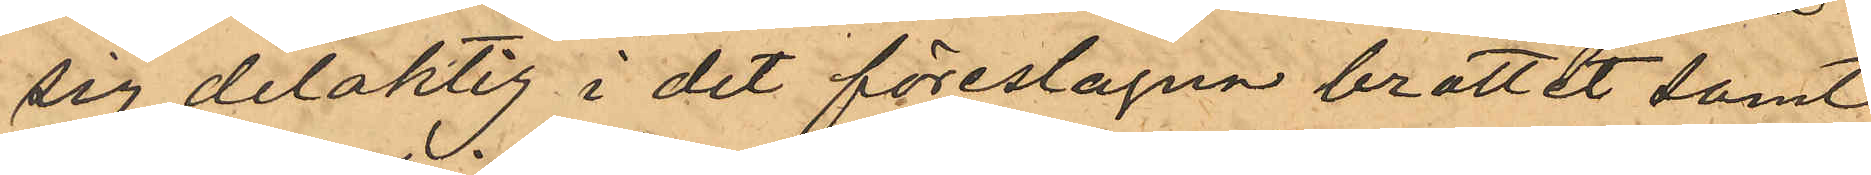sig delaktig i det föreslagna brottet samt
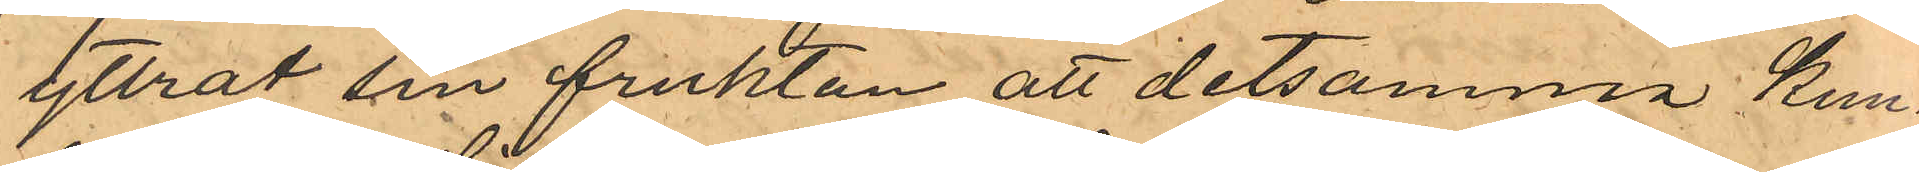yttrat sin fruktan att detsamma kun¬
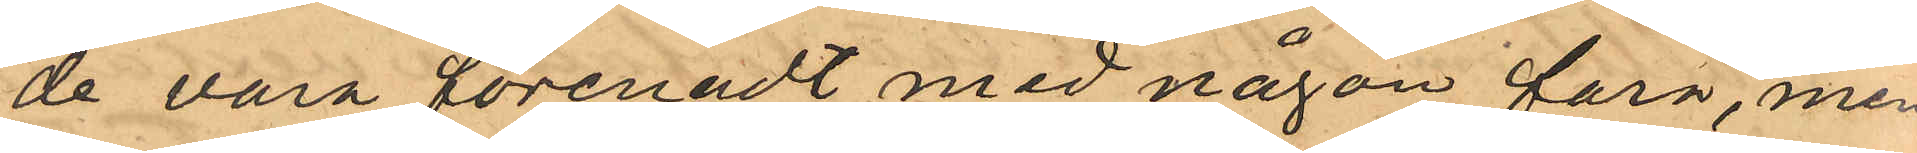de vara förenadt med någon fara, men
